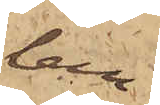lem¬
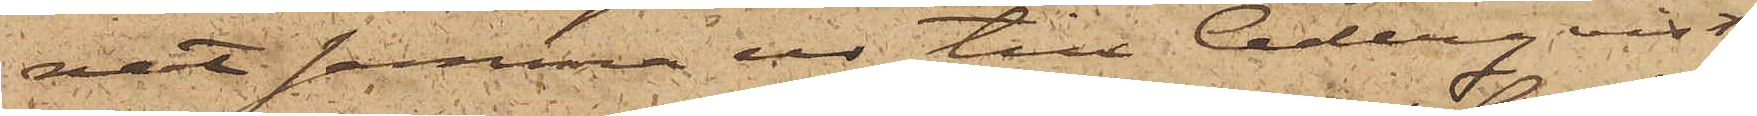nat samma ur till Cederqvist
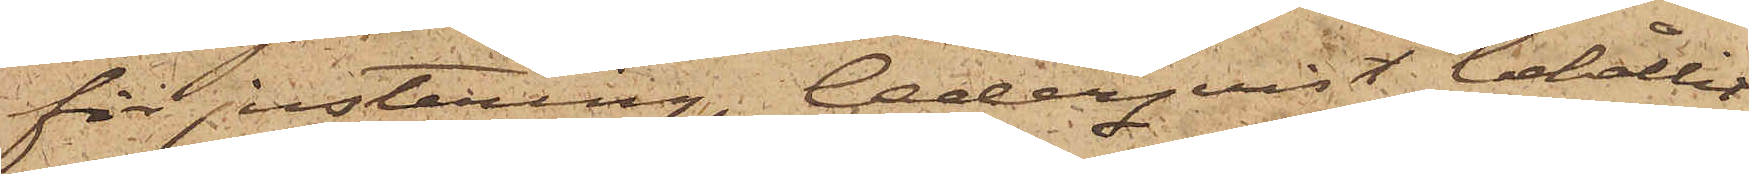för justering, Cederqvist behållit
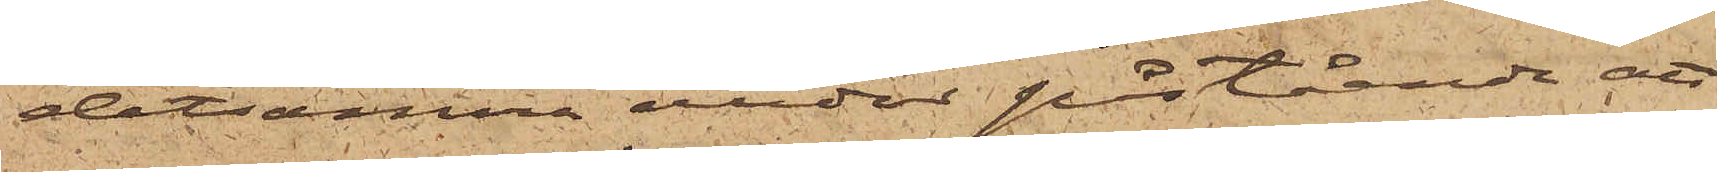detsamma under påstående att
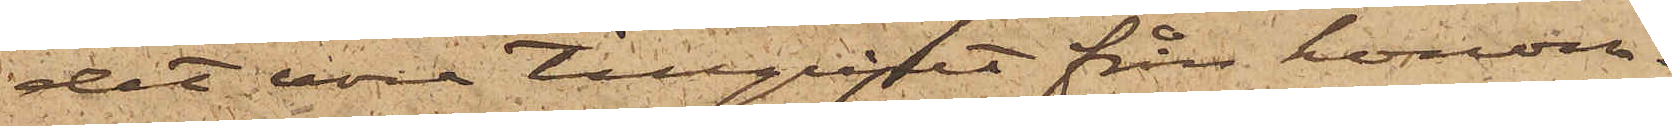det vore tillgripet från honom.
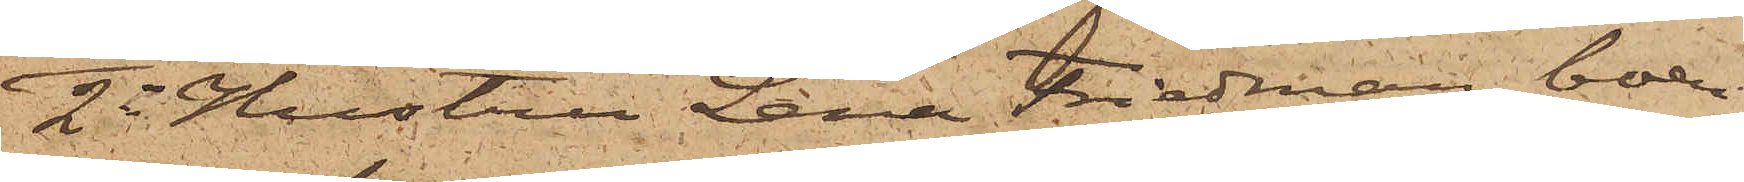2o Hustru Lena Friedman, boen¬
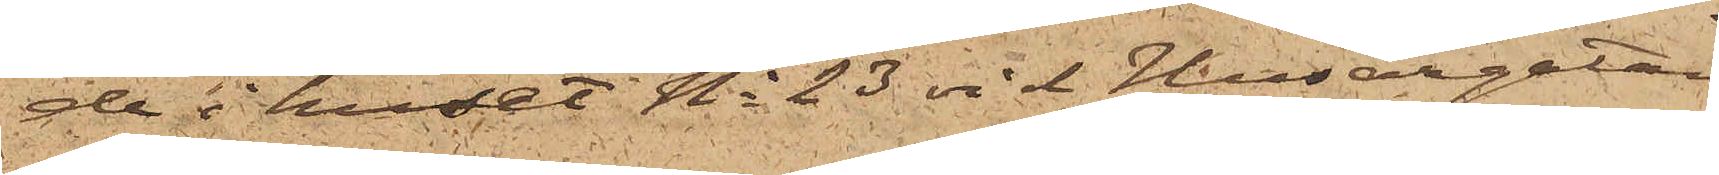de i huset No 23 vid Husargatan,
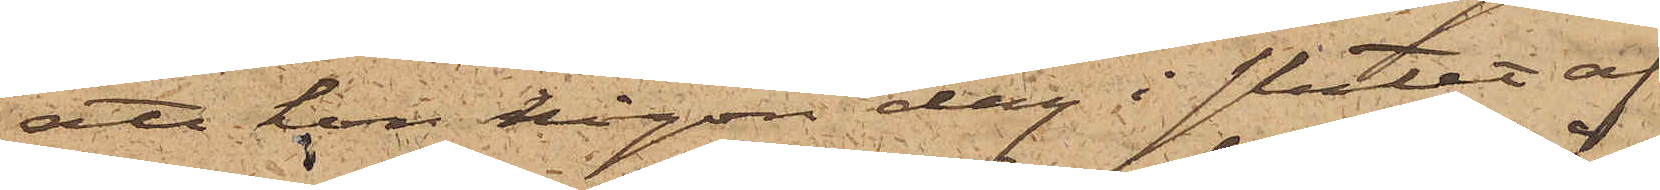att hon någon dag i slutet af
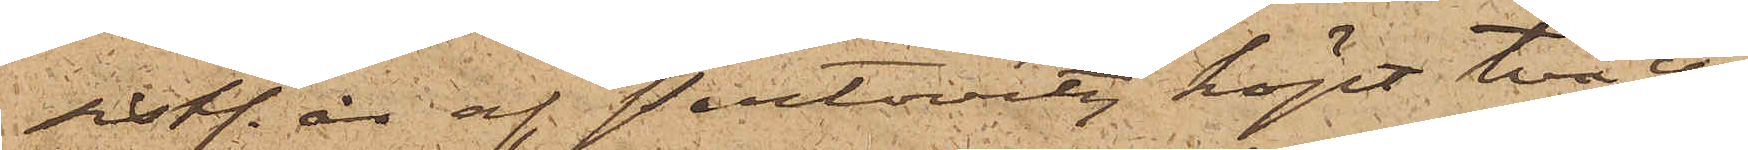sistl. år af Pertovitz, köpt två cy¬
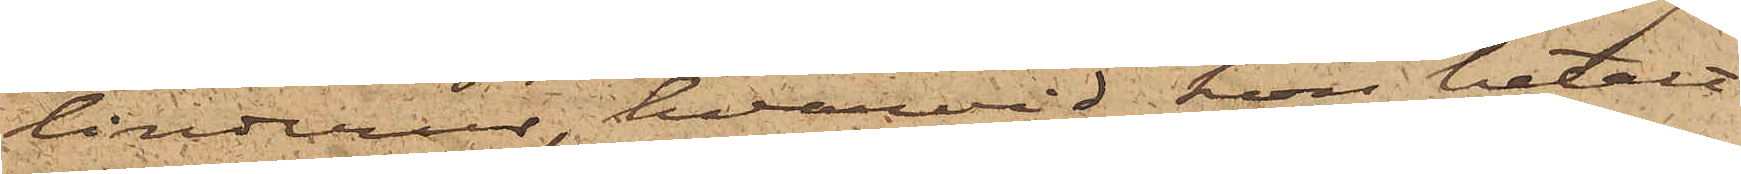linderur, hvarvid hon betalt
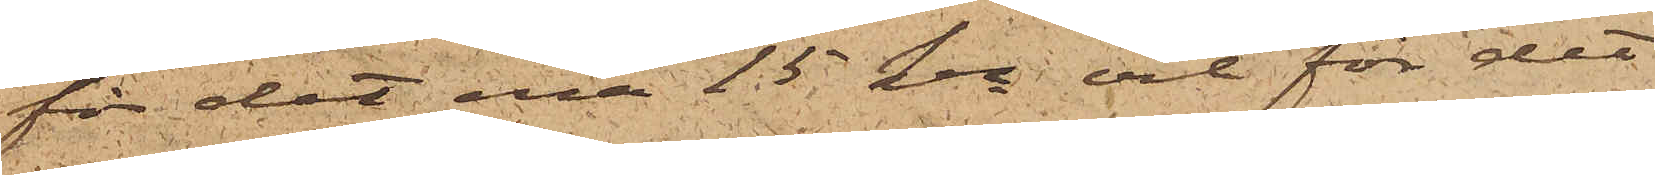för det ena 15 kr och för det
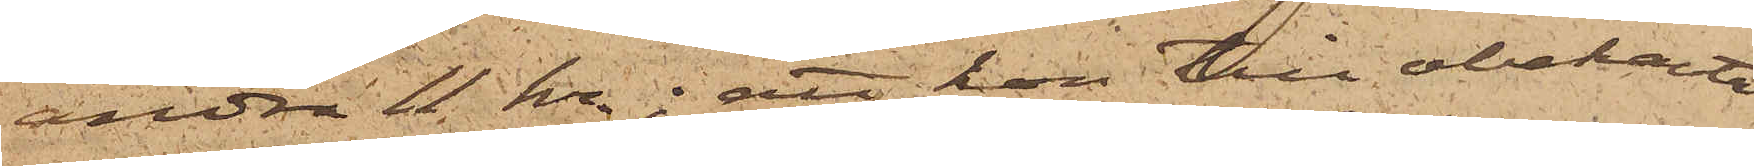andra 11 kr; att hon till obekanta
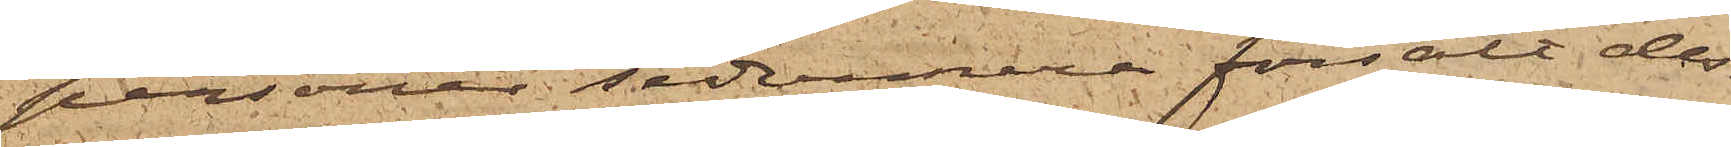personer sedermera försålt des¬
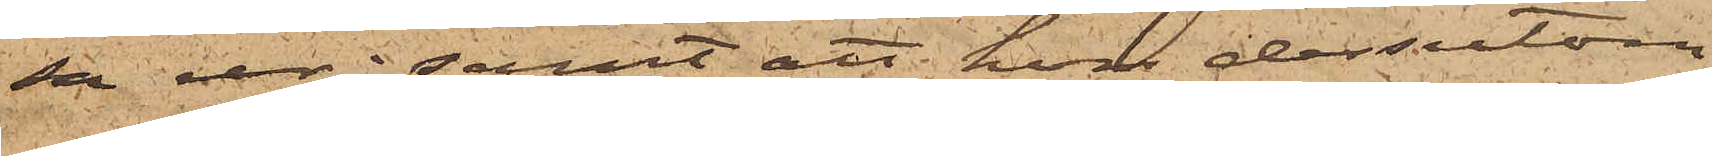sa ur; samt att hon dessutom
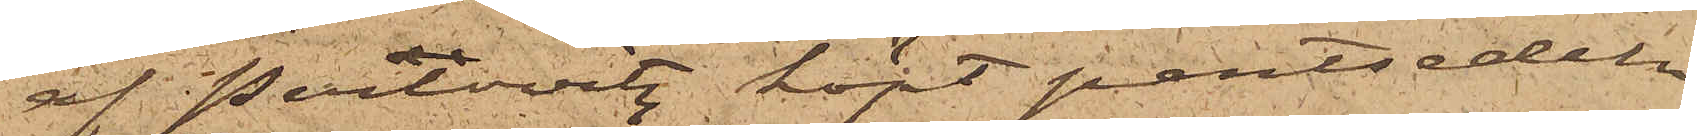af Perlovitz köpt pantsedeln
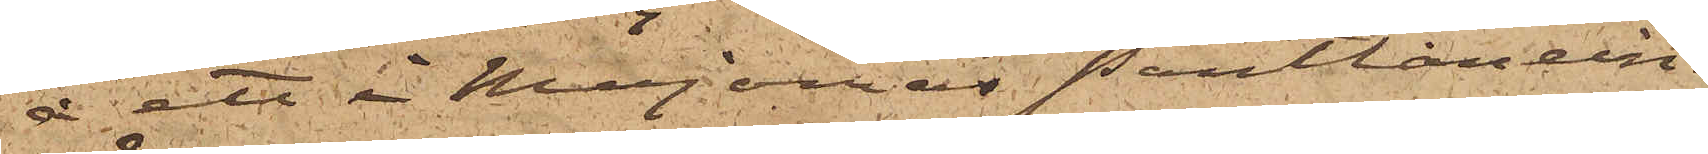å ett i Majornas Pantlånein¬
